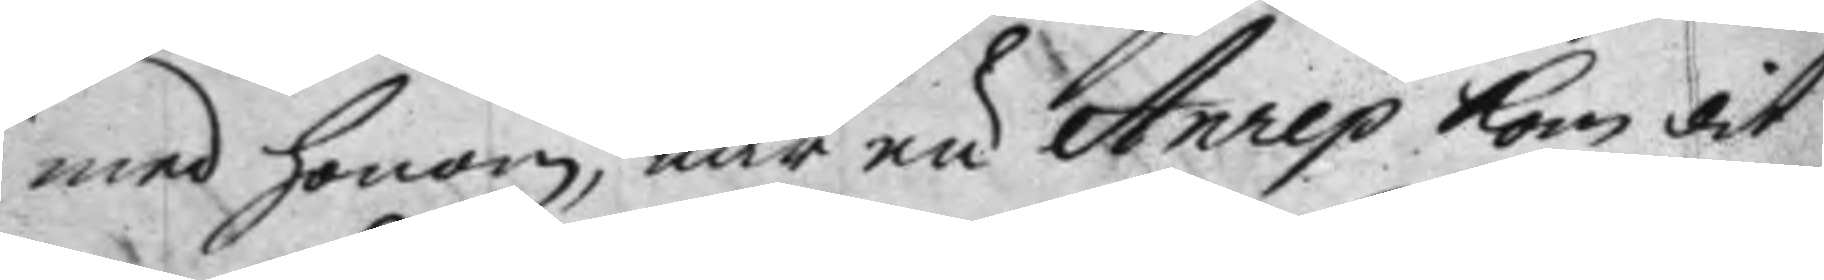med honom, när nu Anrep kom dit
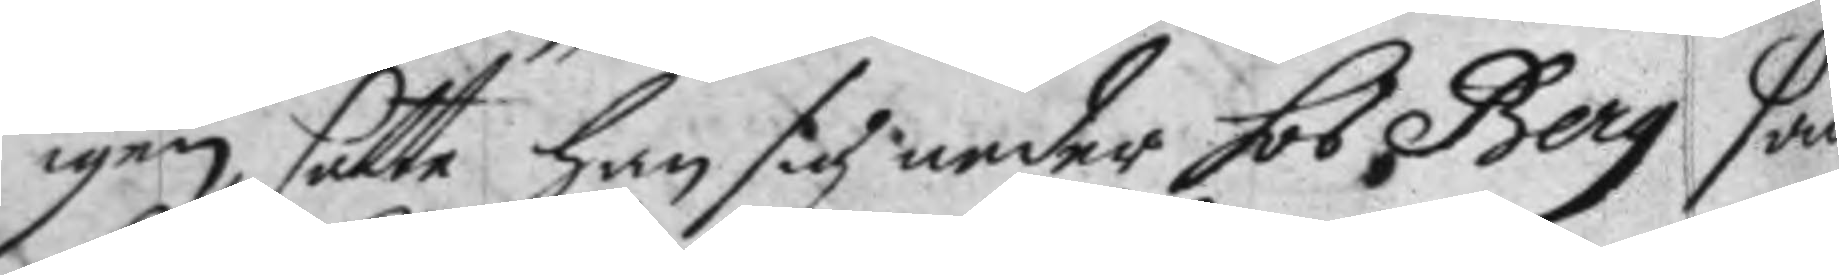igen, satte han sig neder hos Berg sam
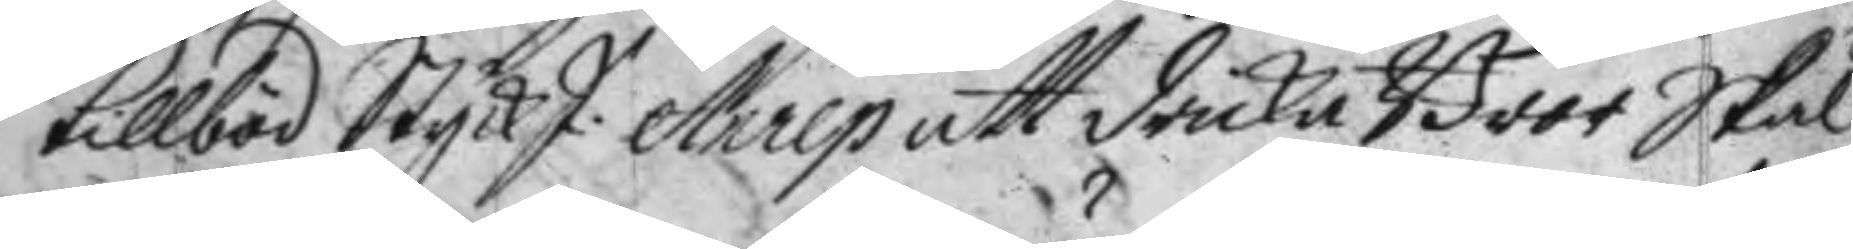tillböd StyckJ: Anrep att dricka Bror skål
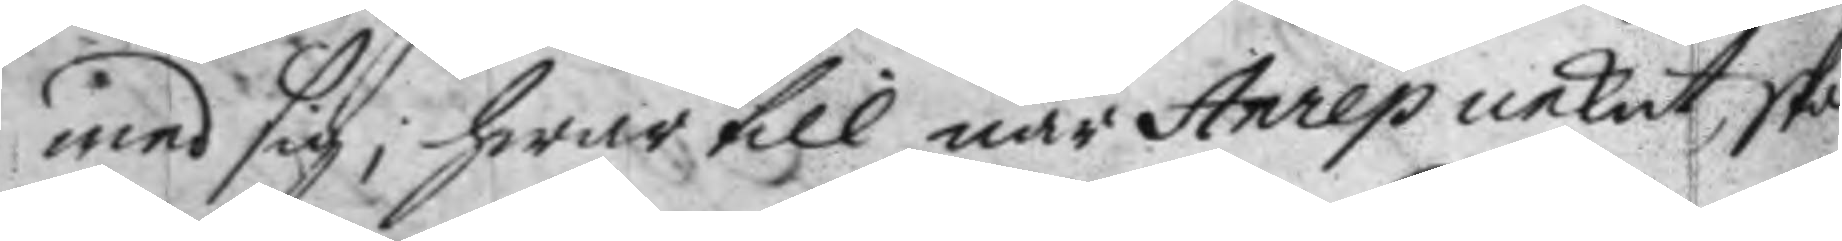med sig; hwar till när Anrep nekat, skal
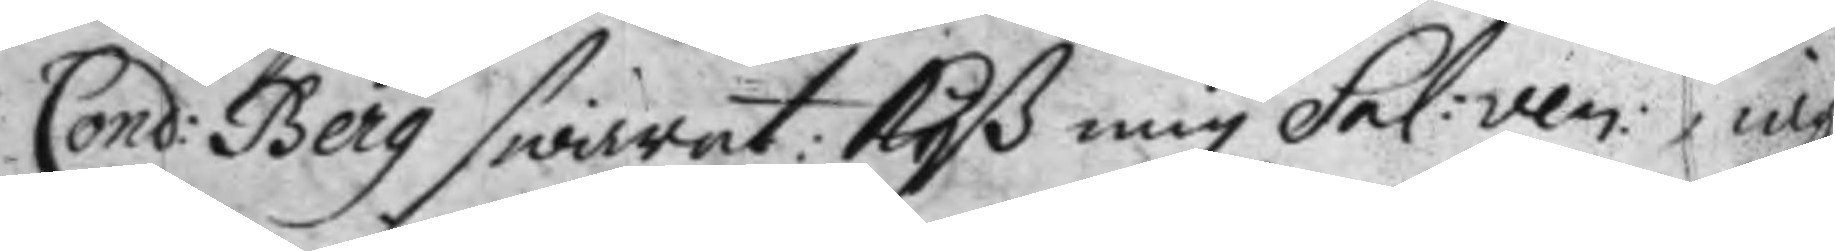Cond: Berg swarat: Kyß mig Sel: ven: iag 
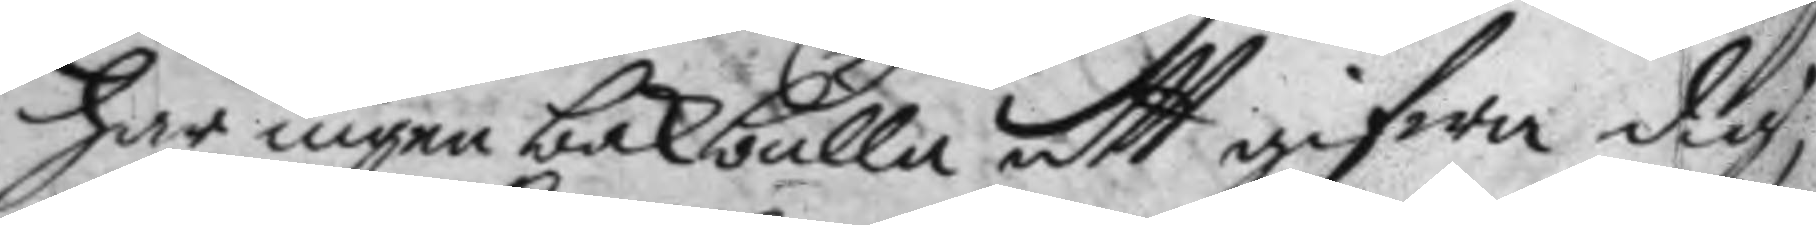har ingen bakbulla att gifwa dig,
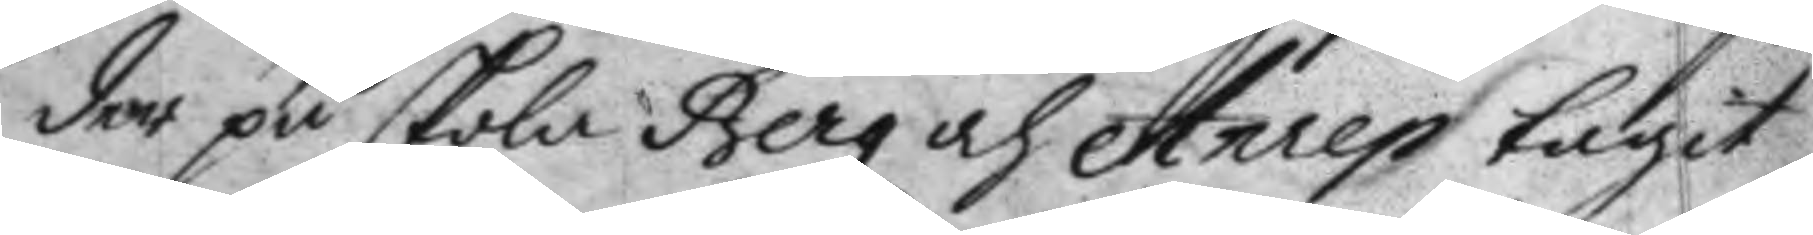der på skola Berg och Anrep tagit
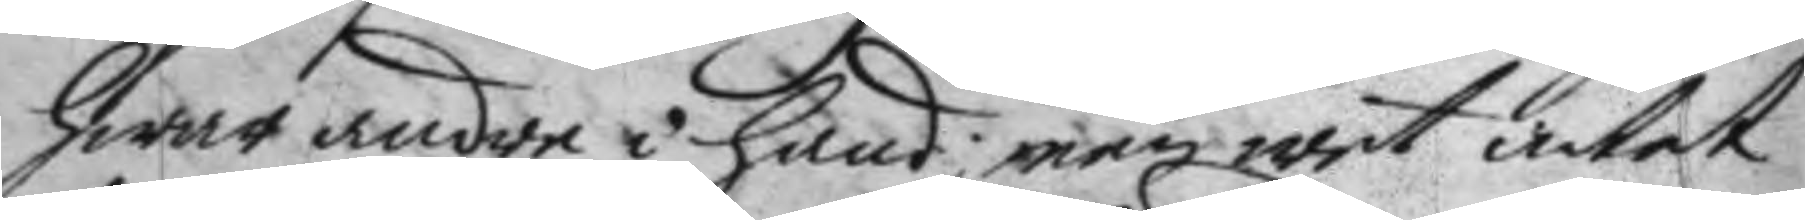hwar andre i hand, men wet intet
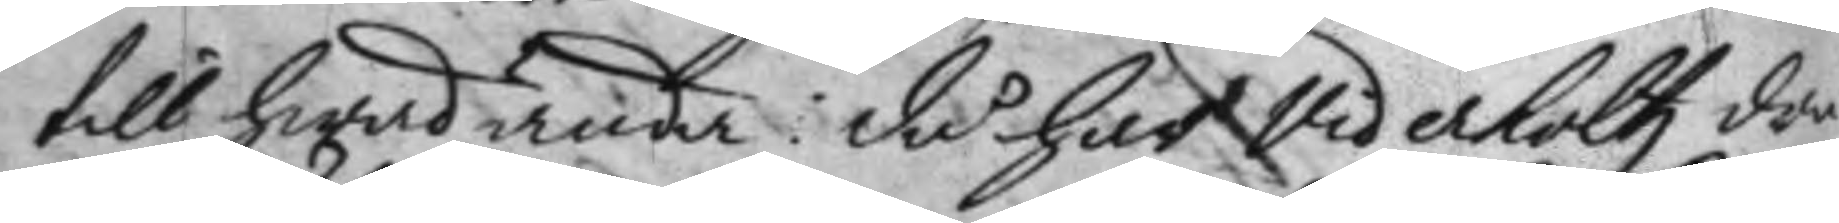till hwad ända: då har Viderholtz dra¬
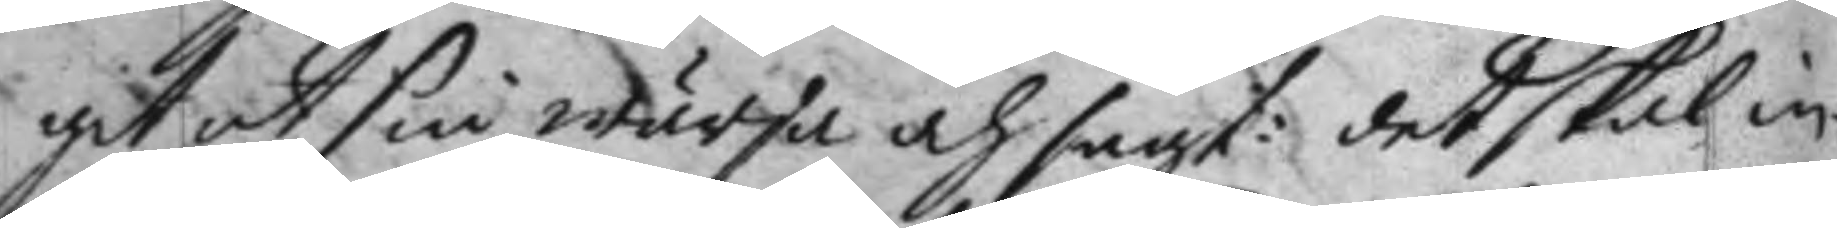git ut sin wärja och sagt: det skal in¬
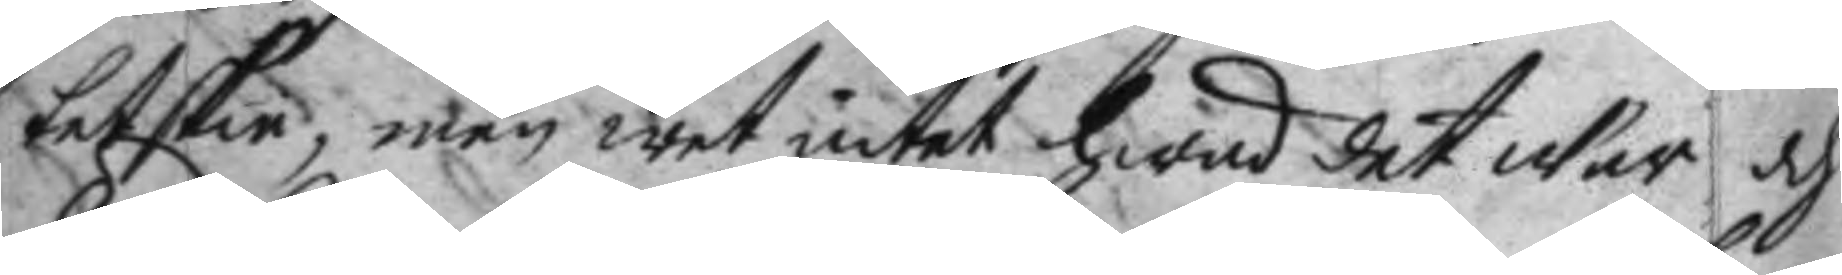tet skie; men wet intet hwad det war och
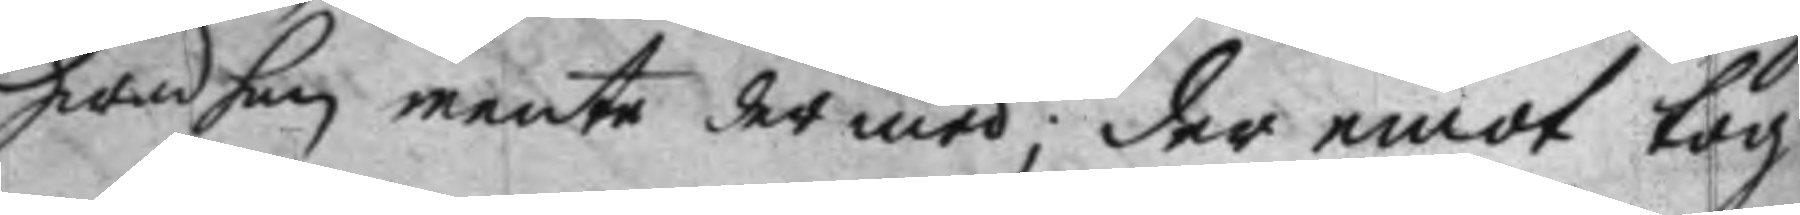hwad han mente der med; der emot tog
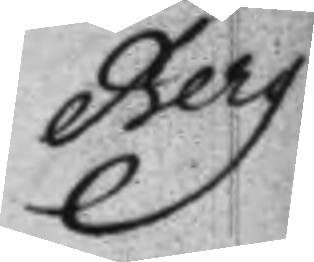Berg
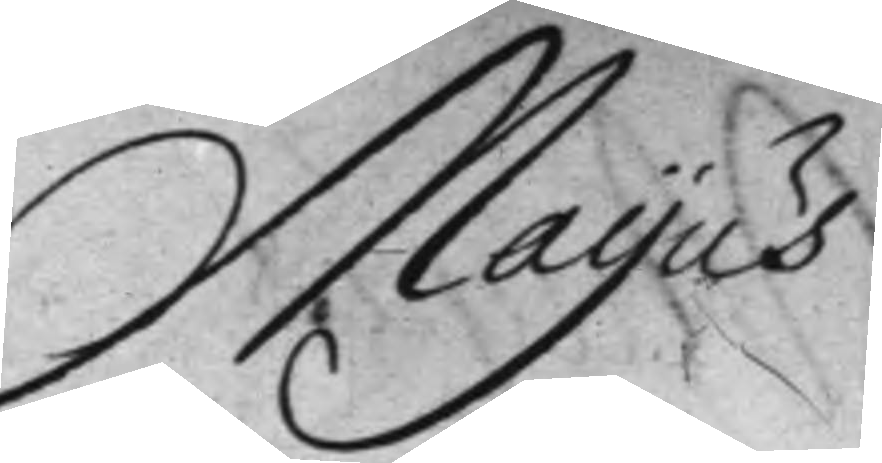Mayus
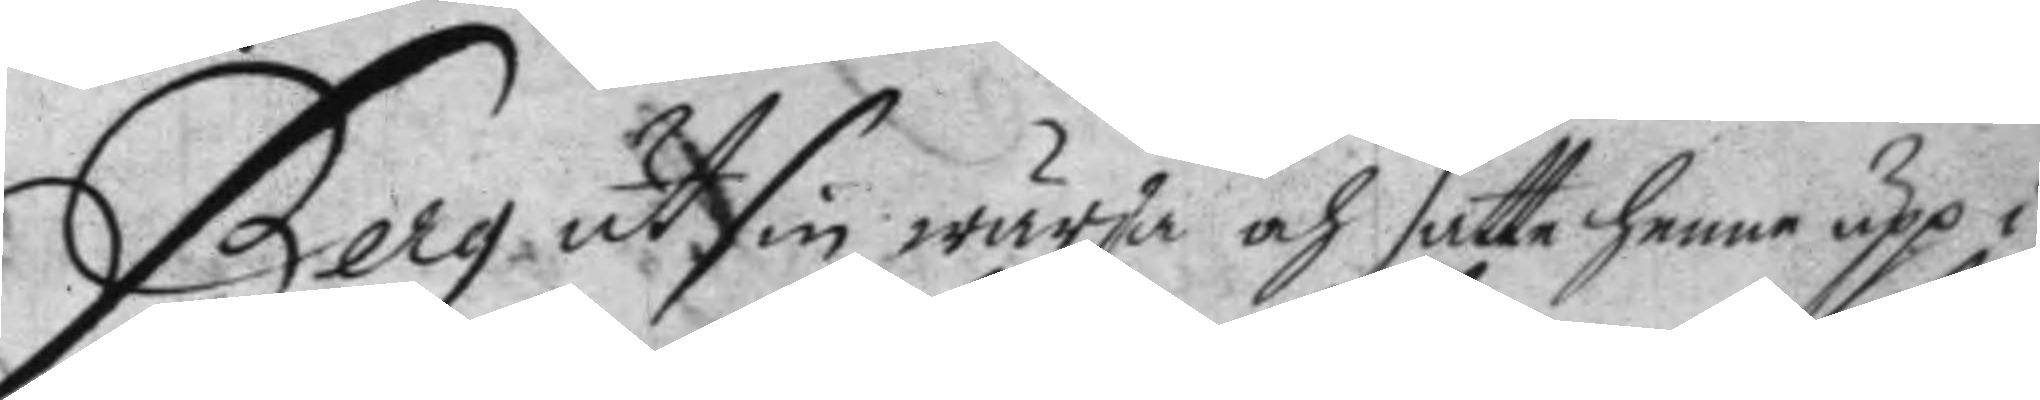Berg ut sin wärja och satte henne upp i
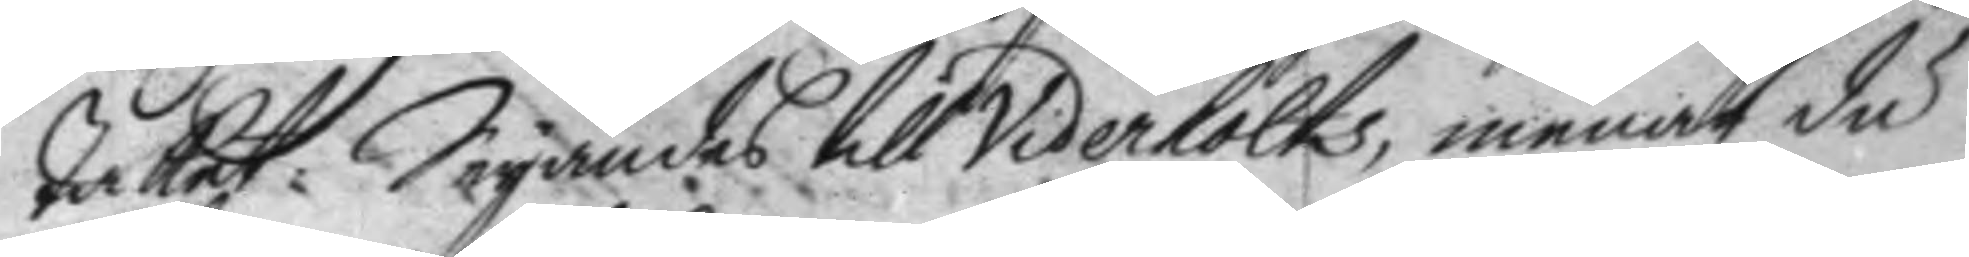taket: Säyandes till Viderholts, menar du
